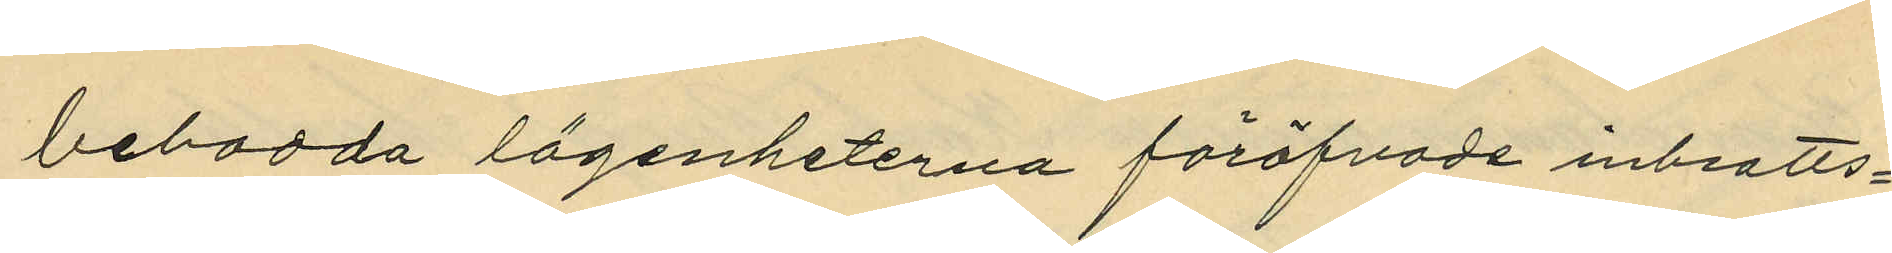bebodda lägenheterna föröfvade inbrotts¬
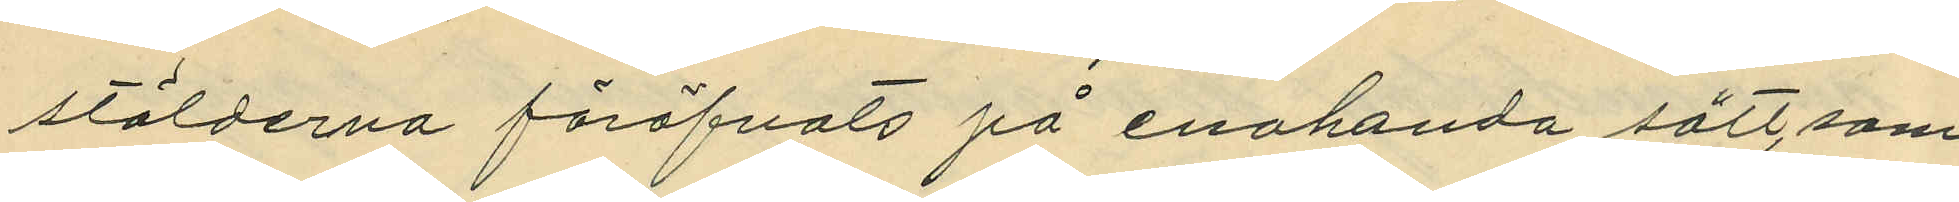stölderna föröfvats på enehanda sätt, som
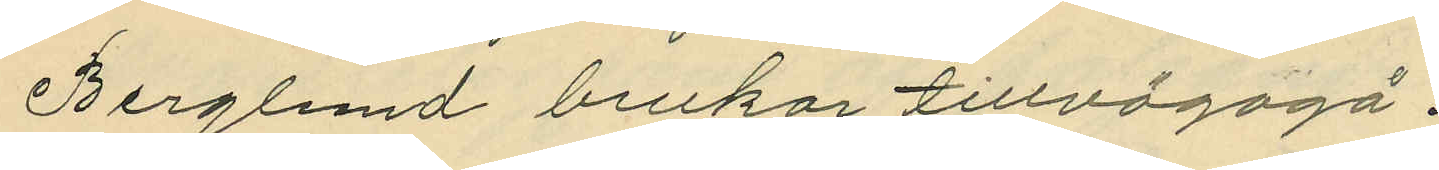Berglund brukar tillvägagå.
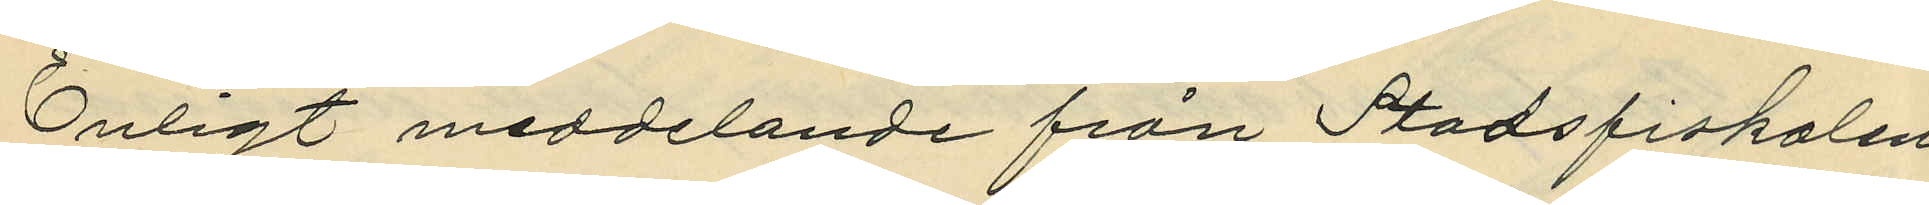Enligt meddelande från Stadsfiskalen
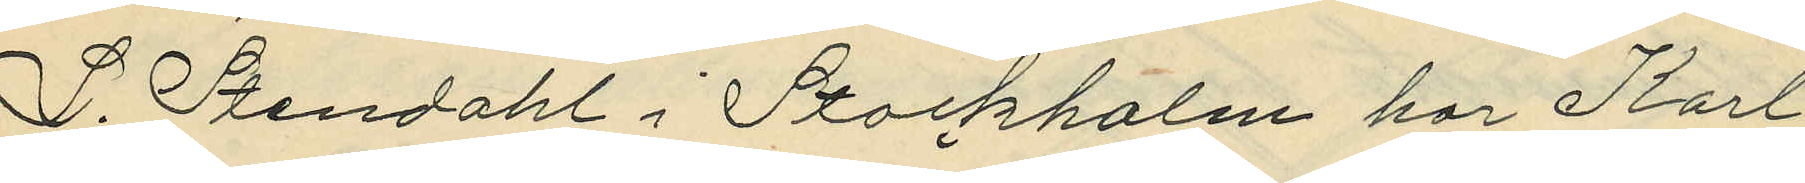L. Stendahl i Stockholm har Karl
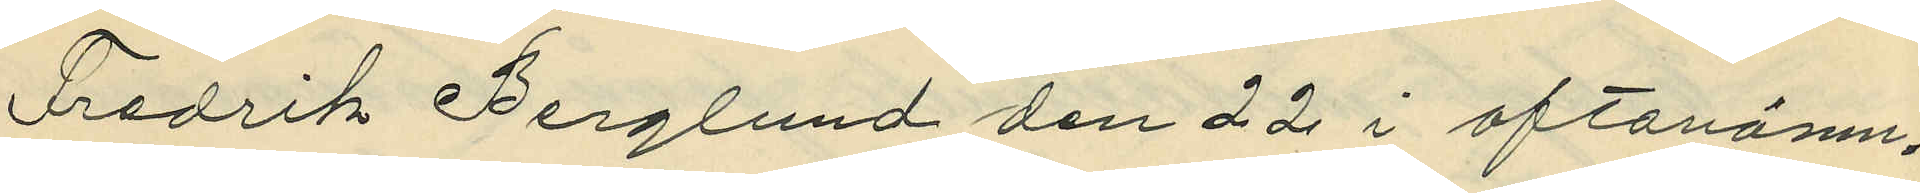Fredrik Berglund den 22 i oftanämn¬
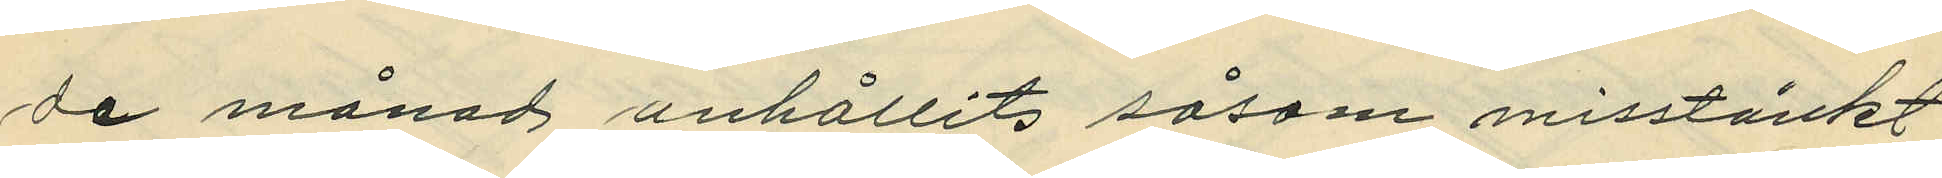de månad anhållits såsom misstänkt
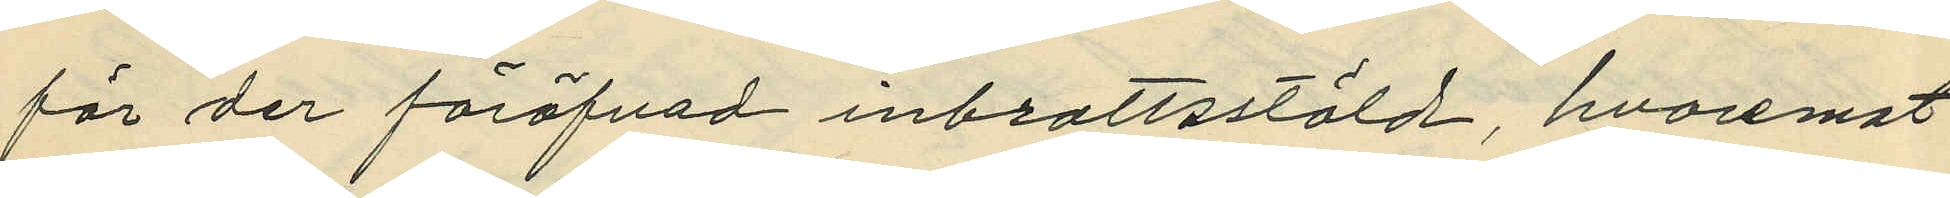för der föröfvad inbrottsstöld, hvaremot
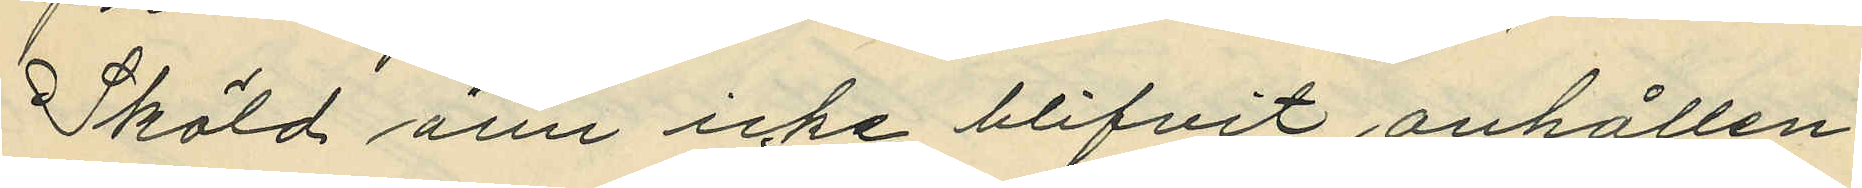Sköld änu icke blifvit anhållen.
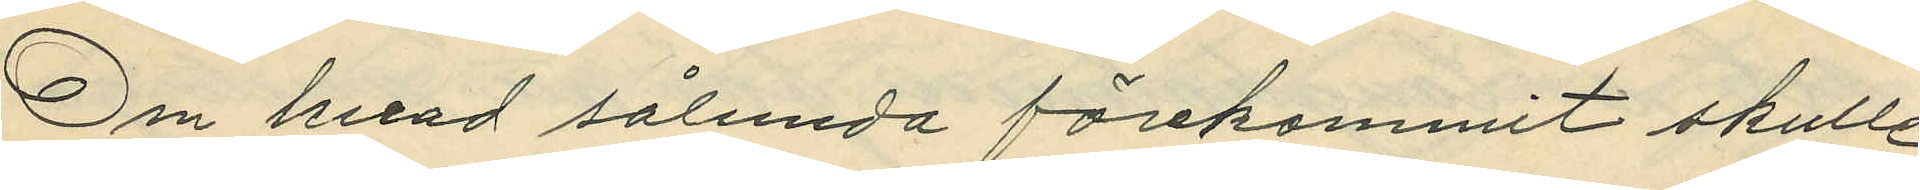Om hvad sålunda förekommit skulle
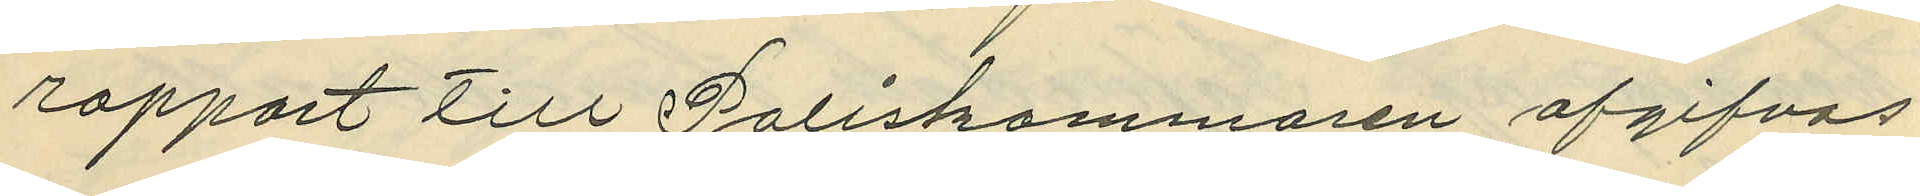rapport till Poliskammaren afgifvas.
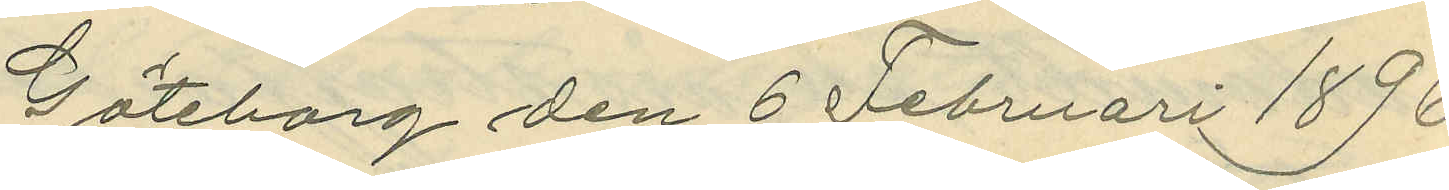Göteborg den 6 Februari 1896.
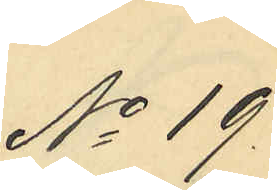No 19.
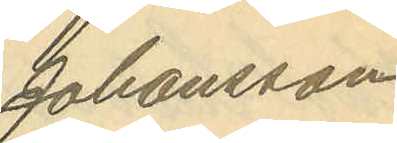Johansson
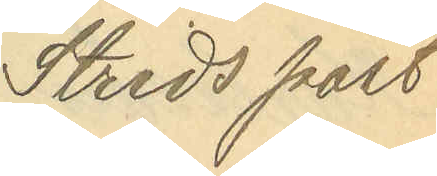Strids post¬
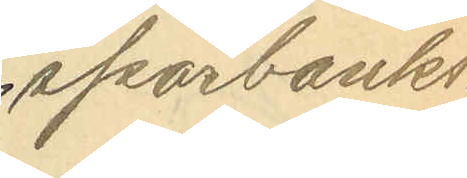sparbanks¬
